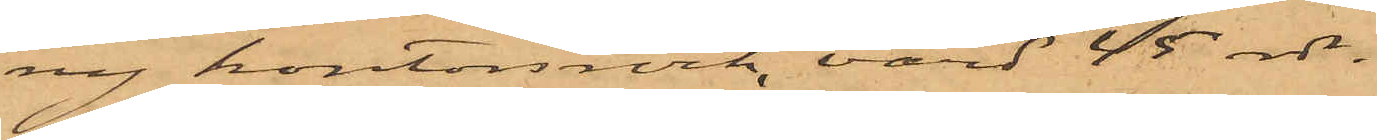ny kontorsrock, värd 45 rdr.
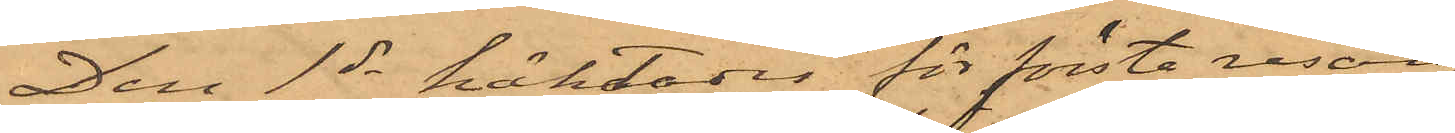Den 1ds häktades för första resan
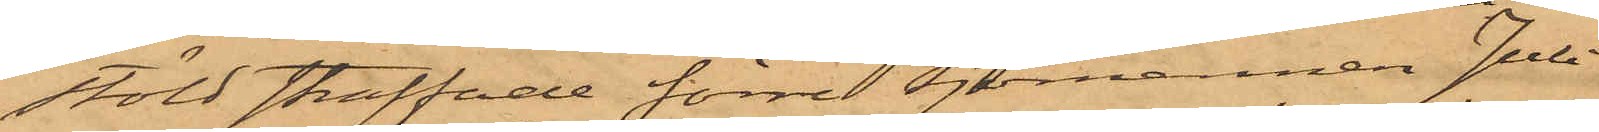stöld straffade förre sjömannen Juli¬
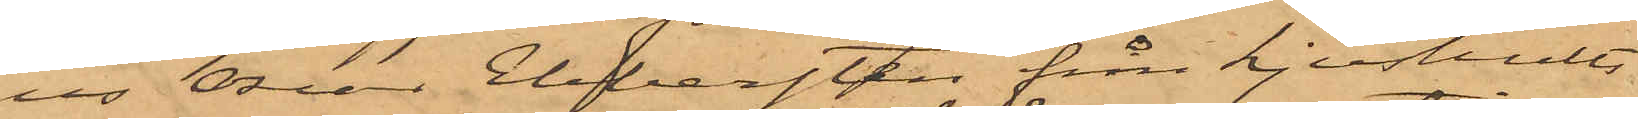us Oscar Ebbersten från Ljushult
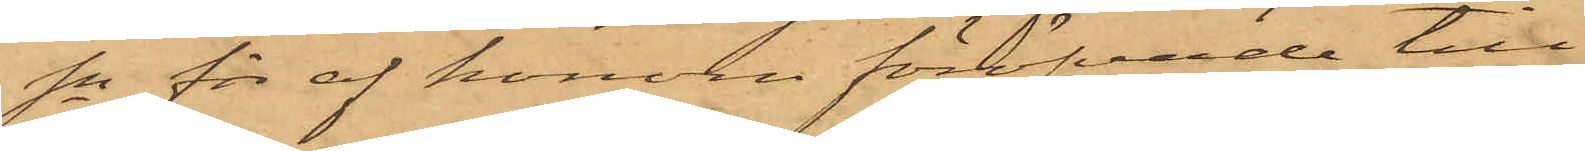sn för af honom föröfvade till¬
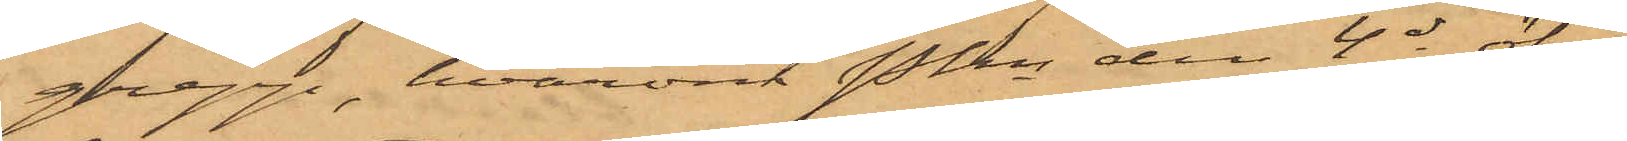grepp, hvarom Pkn den 4 ds öfver¬
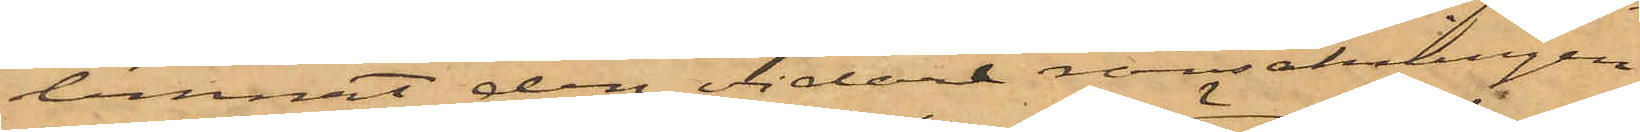lemnat den vidare ransakningen
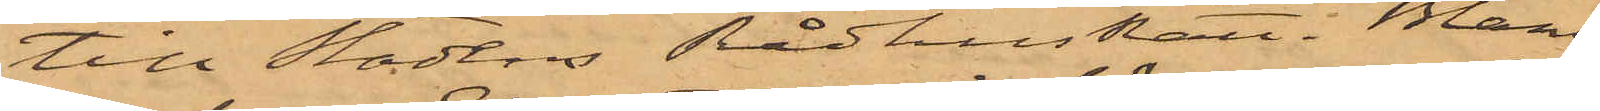till Stadens Rådhusrätt.  Bland
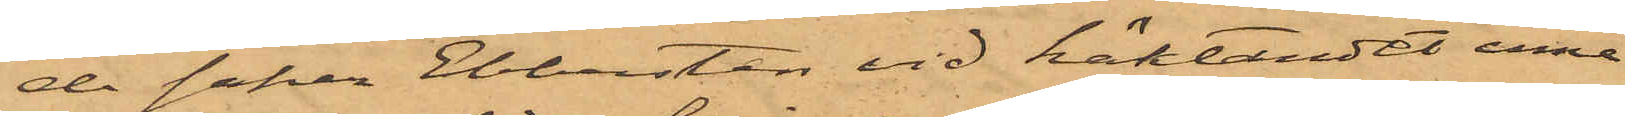de saker Ebbersten vid häktandet inne¬
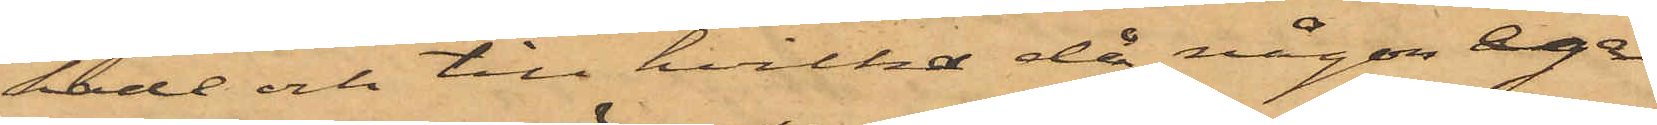hade och till hvilka då någon äga¬
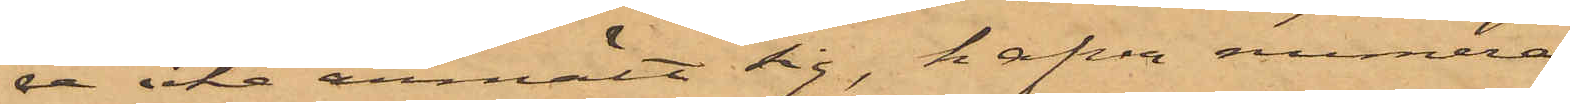de icke anmält sig, hafva numera
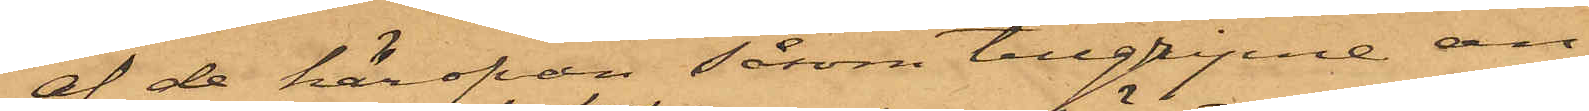af de härofvan såsom tillgripne an¬
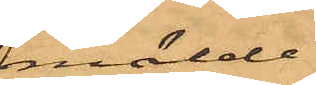mälde
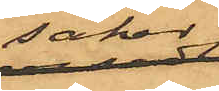saker
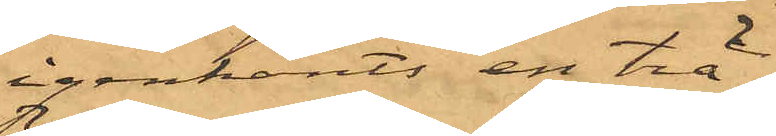igenkänt: en trä¬
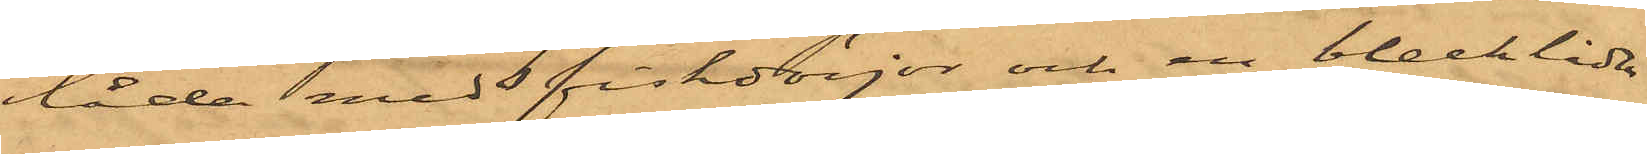låda med fiskdörjar och en blecklåda
